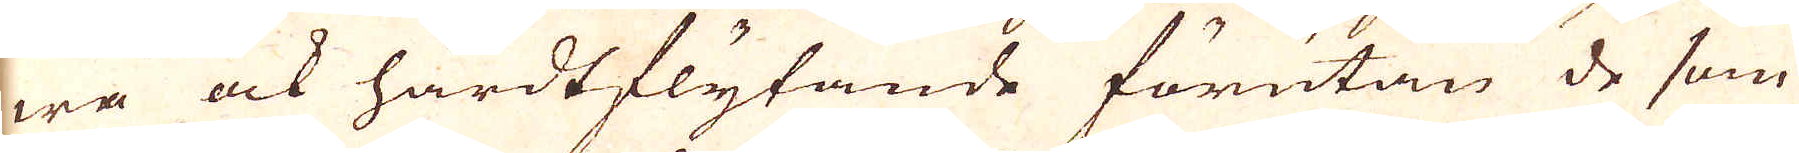wa ock hårdtflytande förutan de som
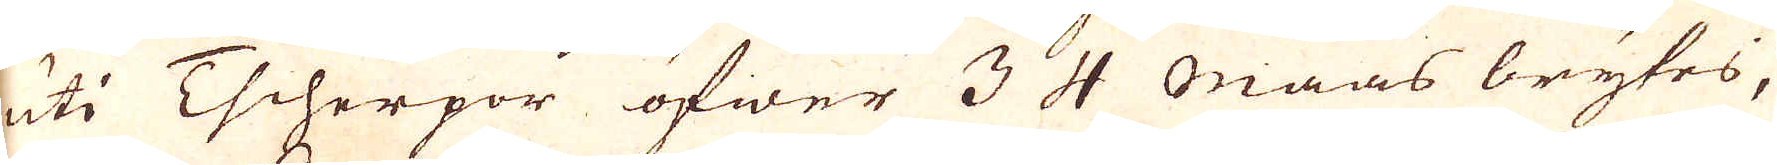uti Tscherpor öfwer 3 4 Maas brytes,
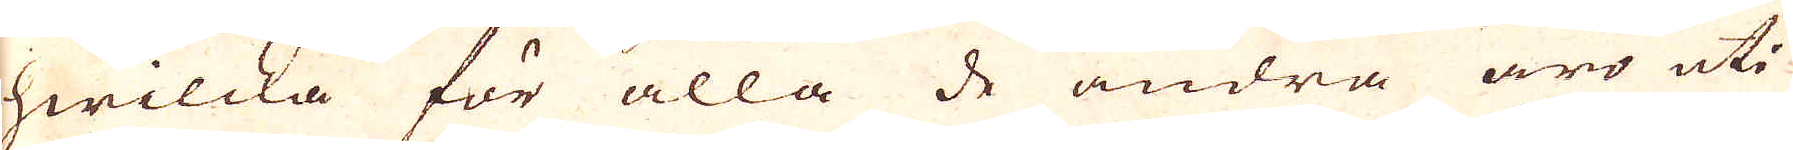hwilcka för alla de andra äro uti
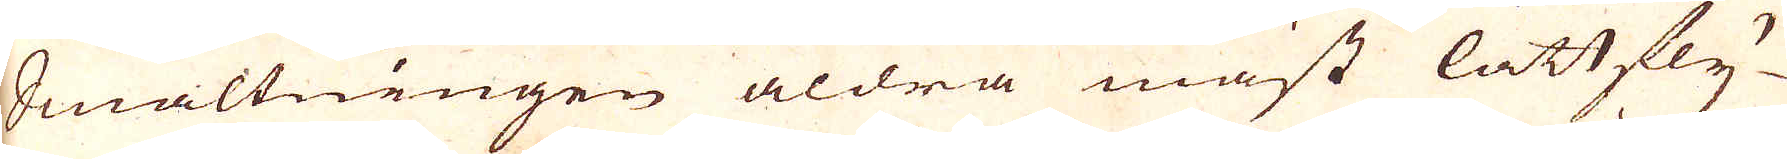Smältningen aldra mäst lättfly-
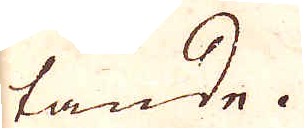tande.
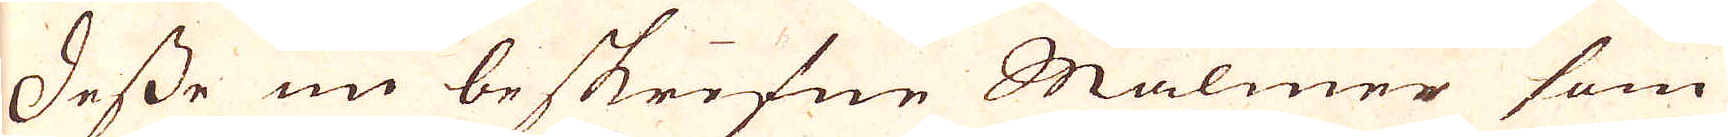Desse nu beskrifne Malmer som
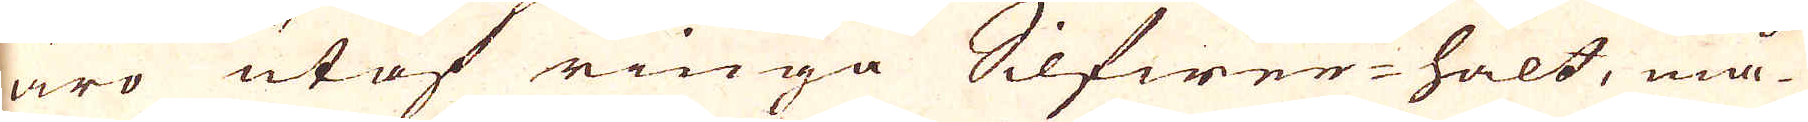äro utaf ringa Silfwerhalt, må-
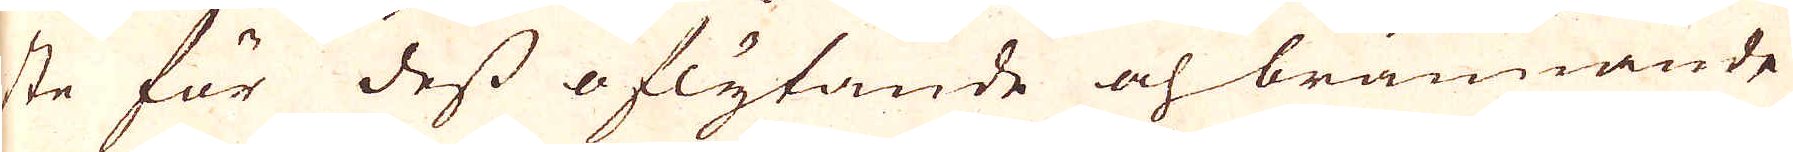ste för dess oflytande och brännande
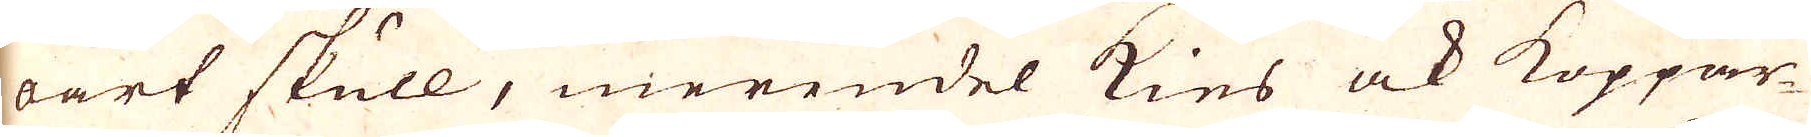oart skull, merendel kies ock Koppar-
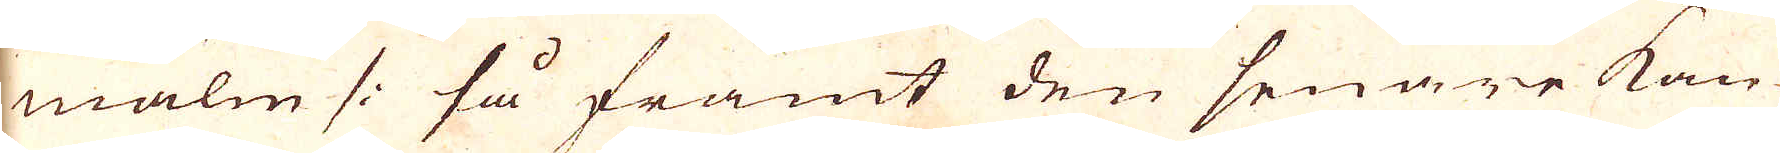malm /: så framt den senare kan
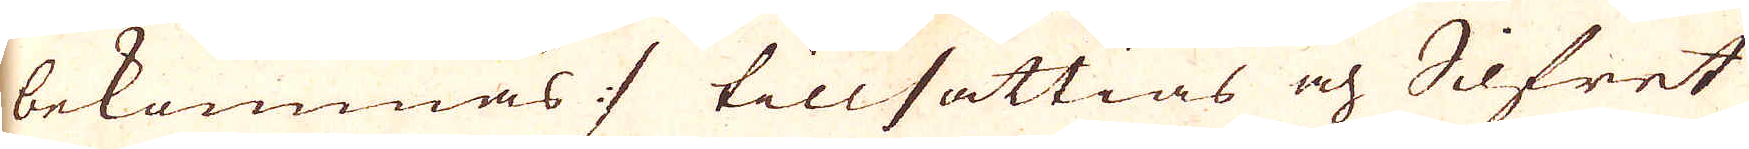bekommas :/ tillsättias och Silfret
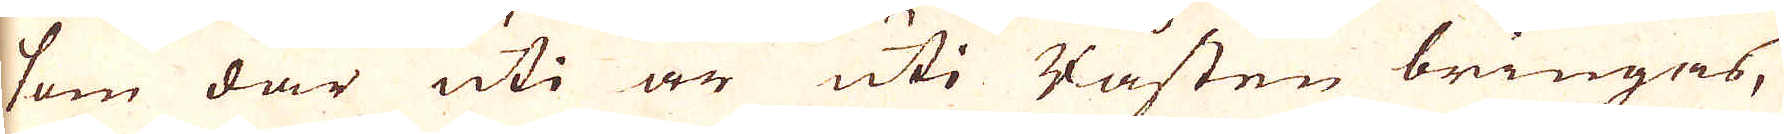som där uti är uti Råsten bringas,
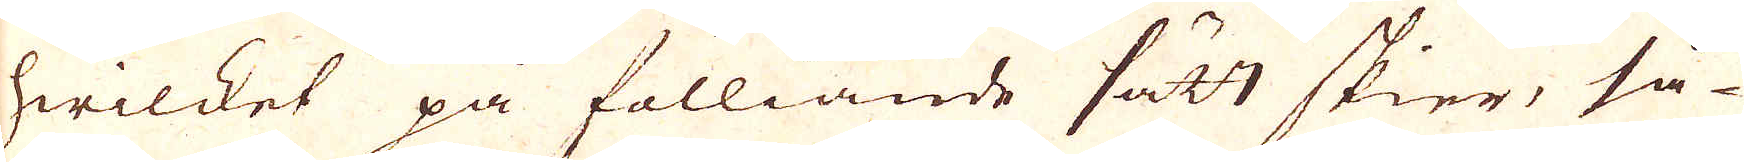hwilket på fölliande sätt skier, så-
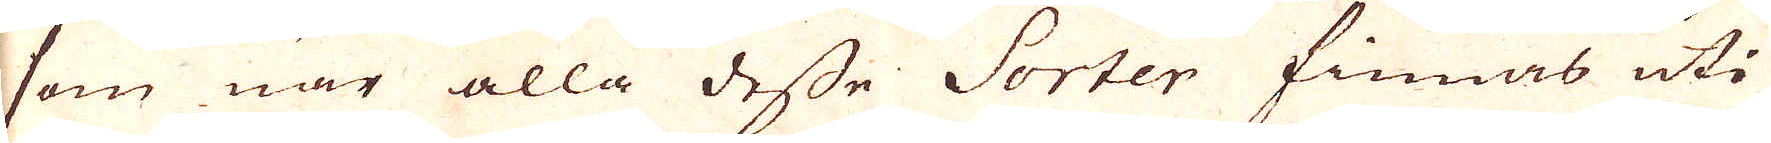som när alla desse Sorter finnas uti
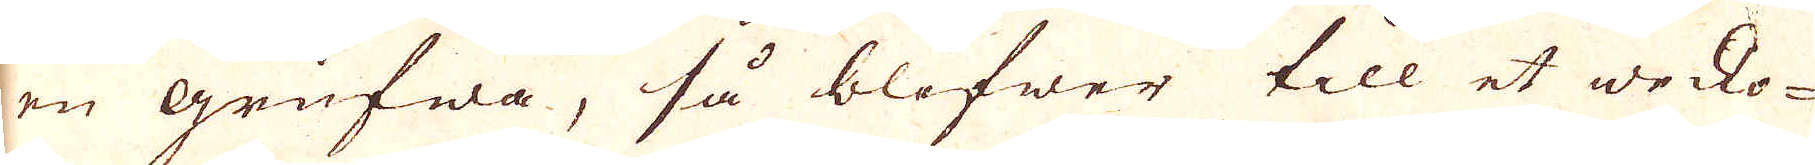en grufwa, så blifwer till et wecko-
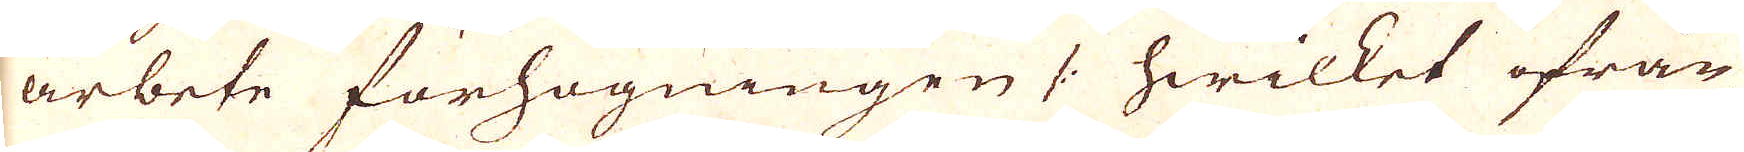arbete förhögningen /: hwilket ifrån
